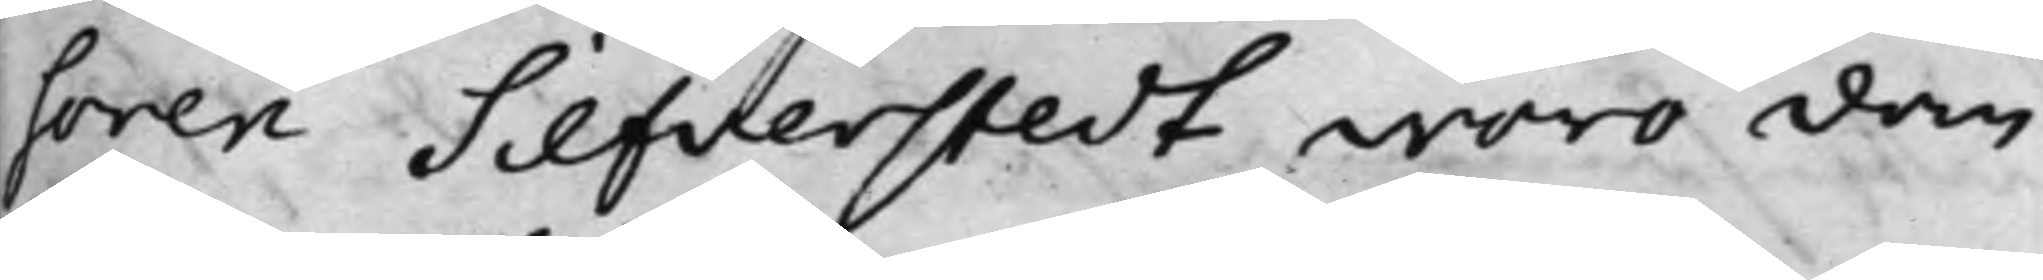soren Silfverstedt woro dom¬
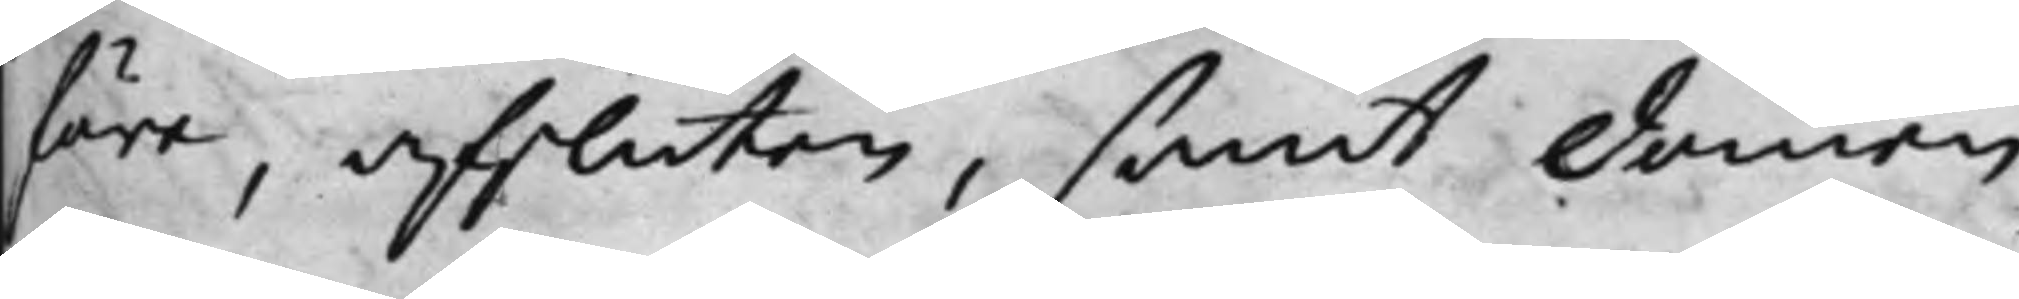föra, afsluten, samt domen
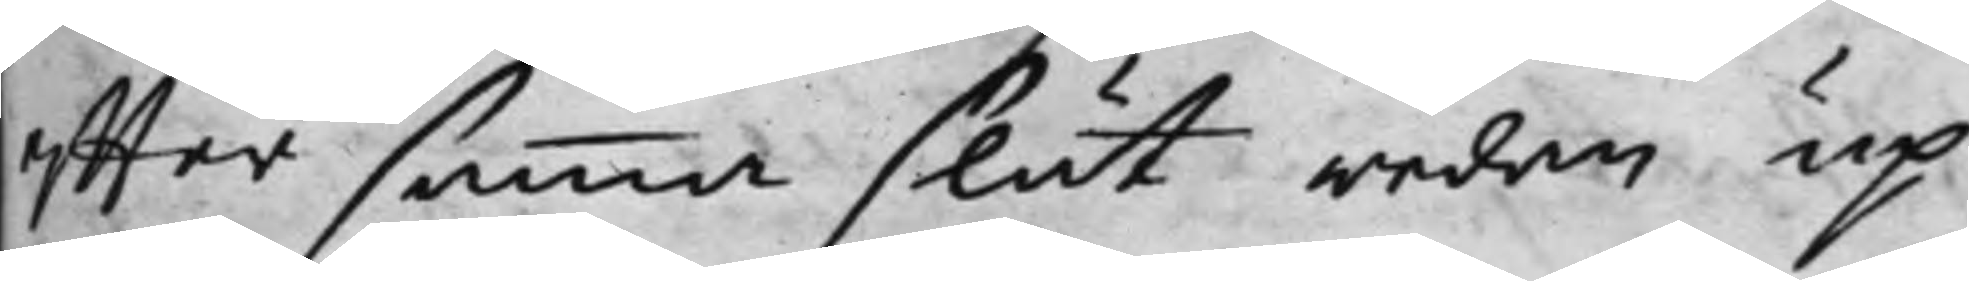effter samma slut redan up¬
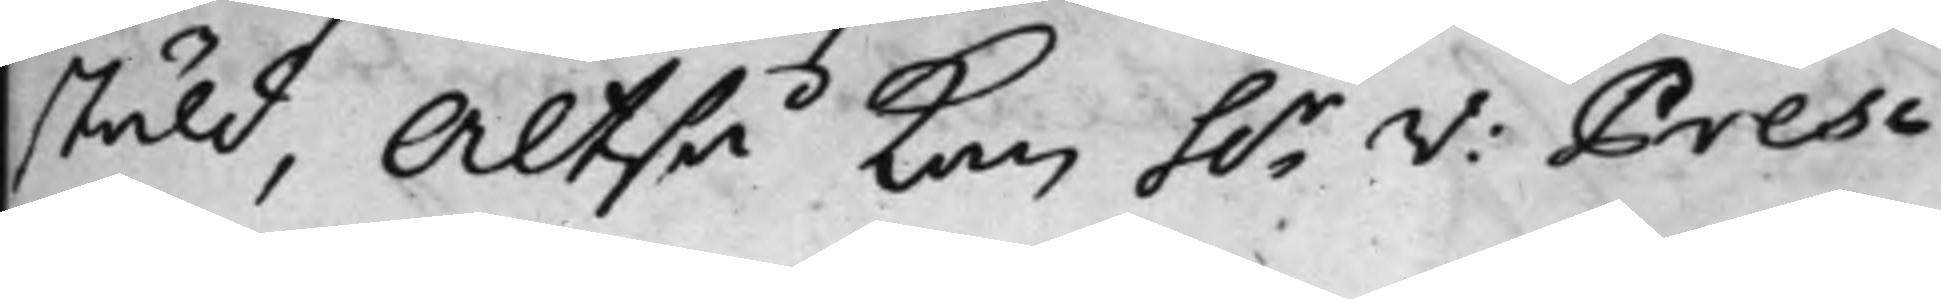ställd, Altså kan h.r V: Presi¬
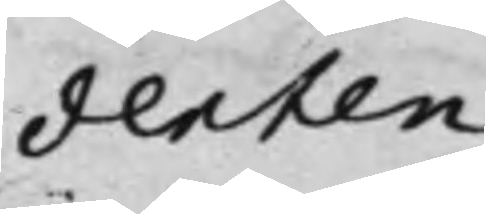denten
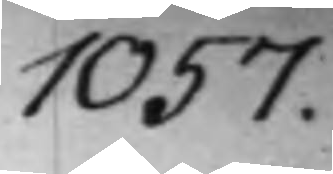1057.
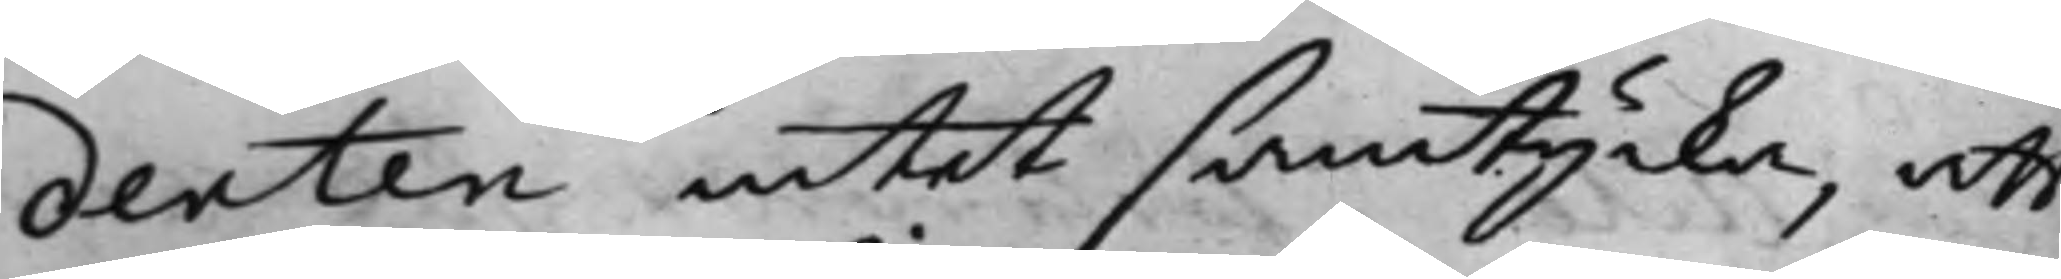denten intet samtycka, att
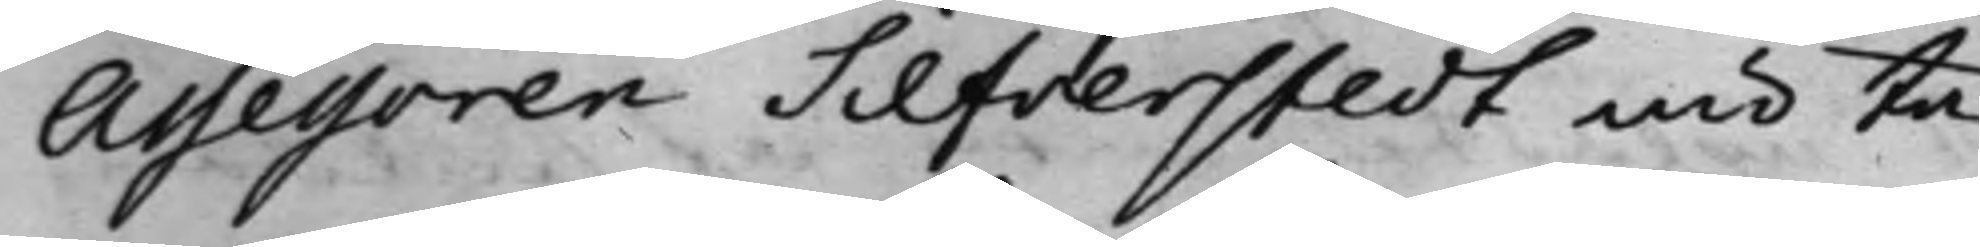Assessoren Silfverstedt nu ta¬
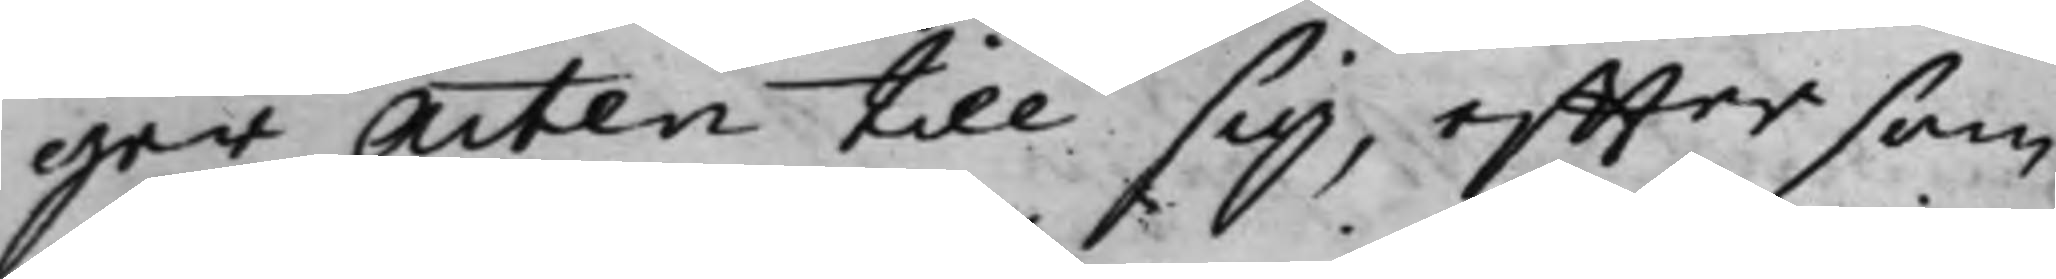ger Acten till sig, effter som
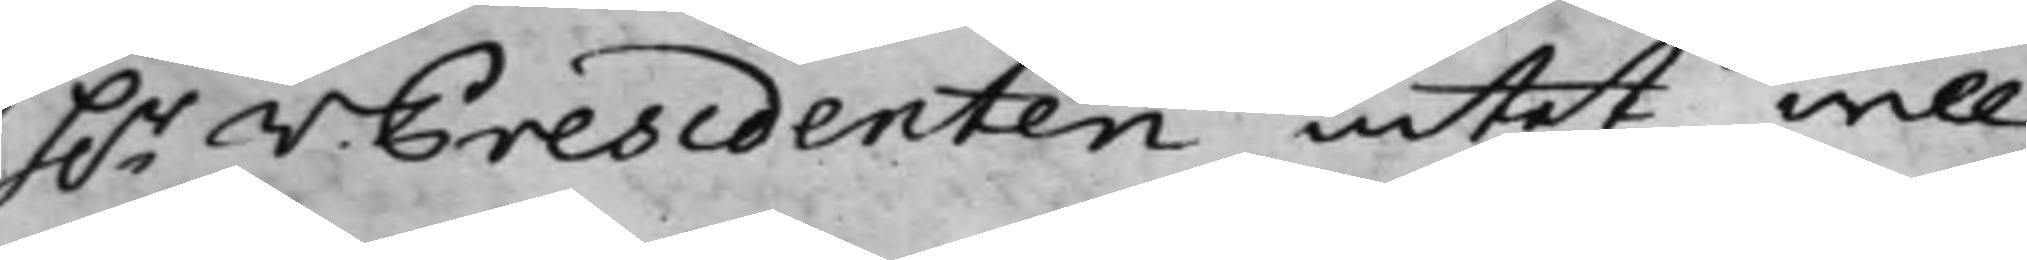h.r V. Presidenten intet will
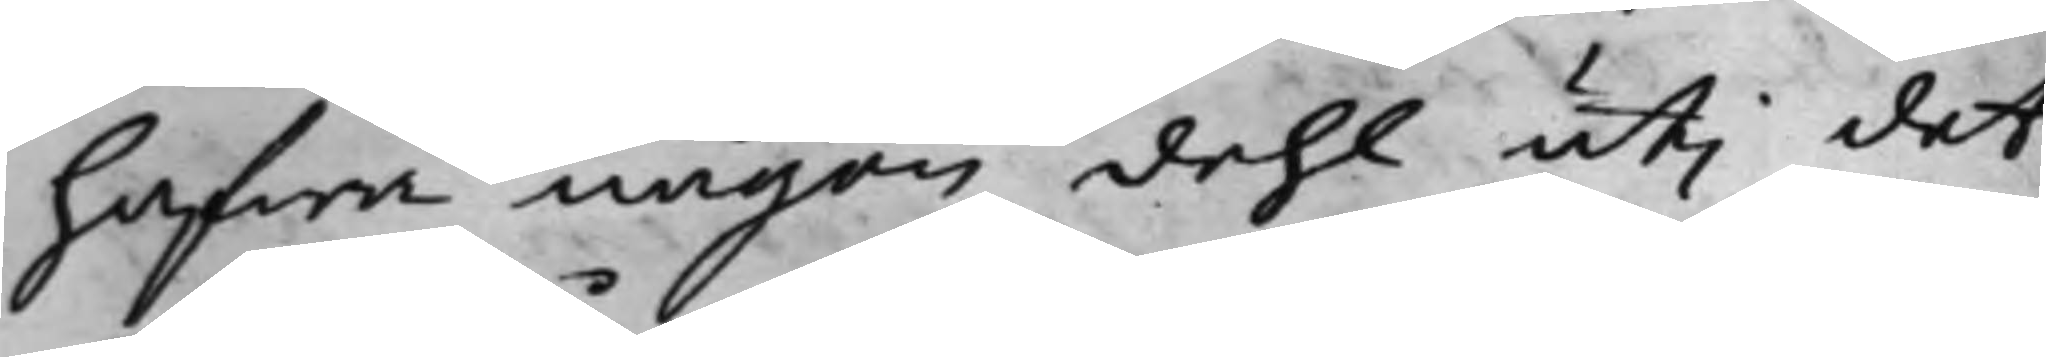hafwa någon dehl uti det
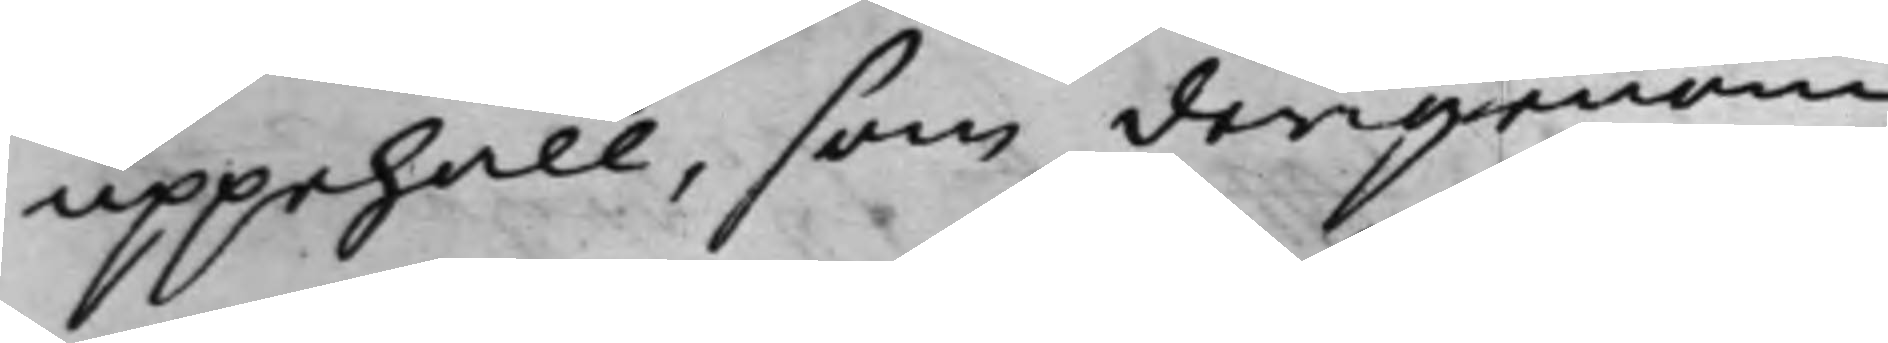uppehåll, som derigenom
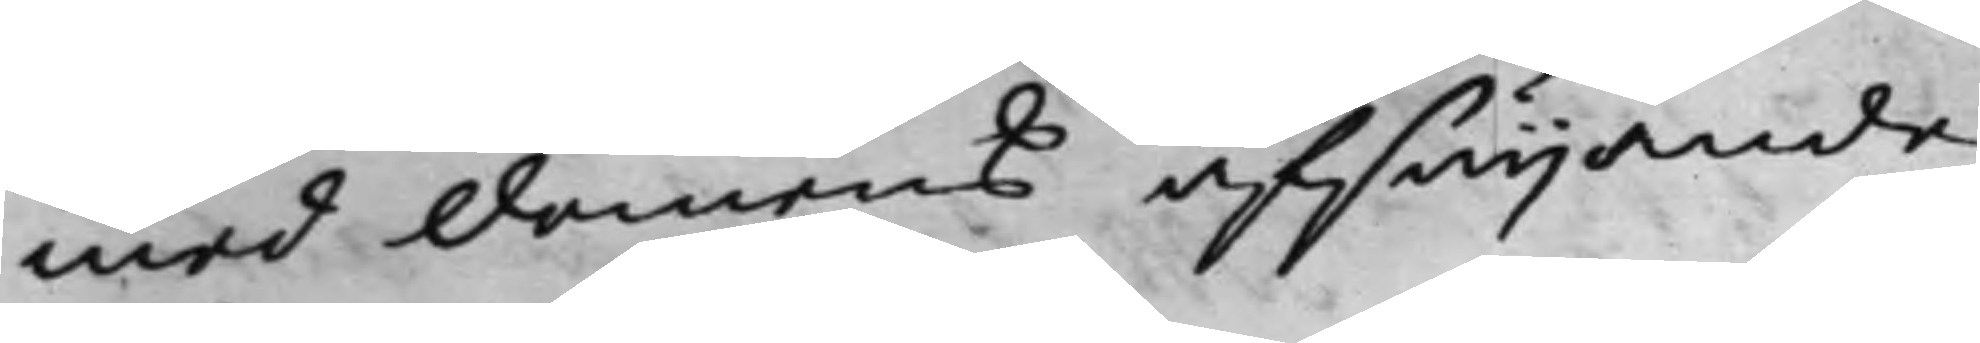med domens afsäijande,
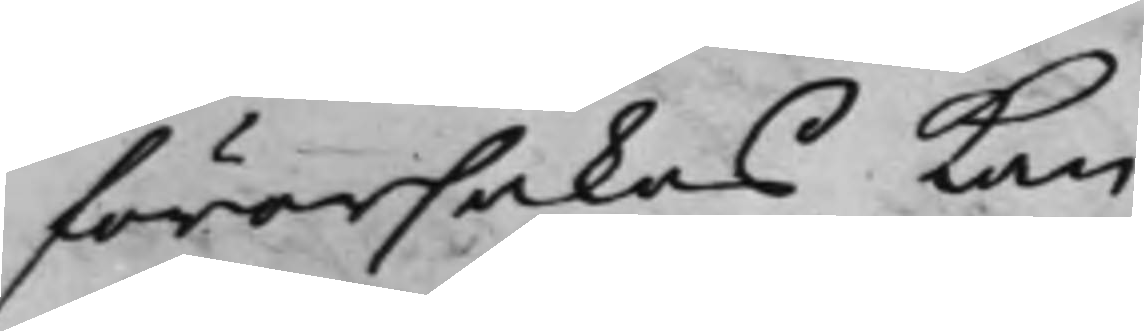förorsakas kan.
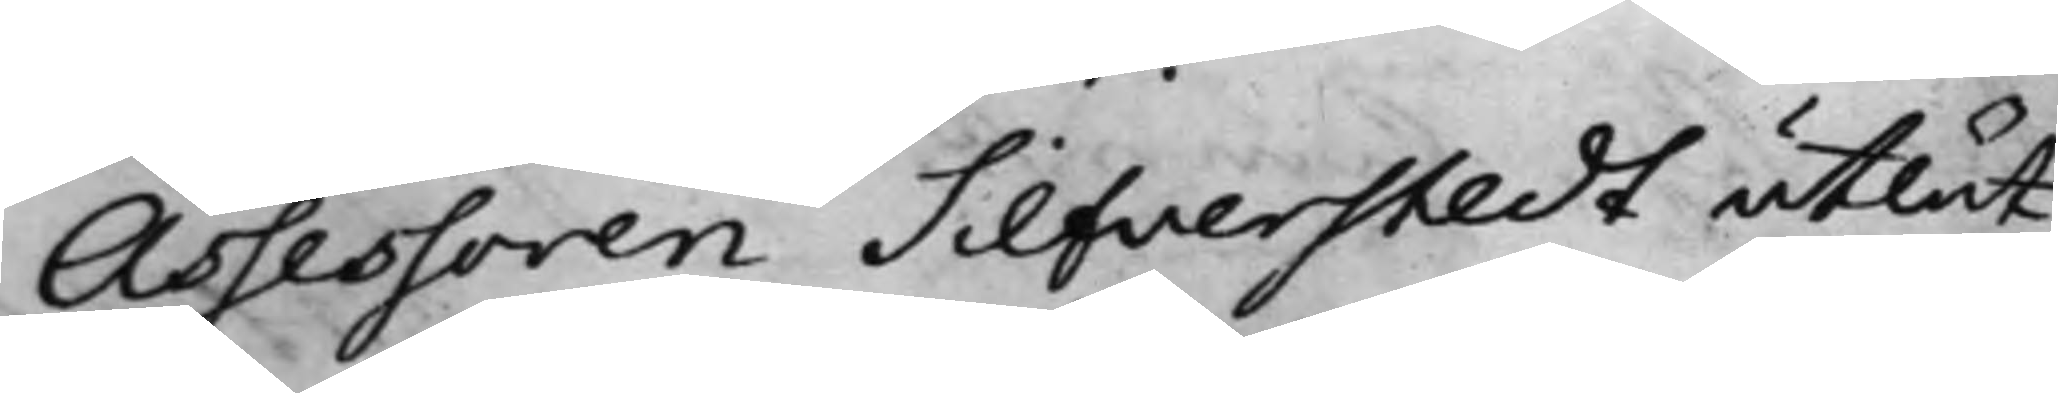Assessoren Silfverstedt utlät
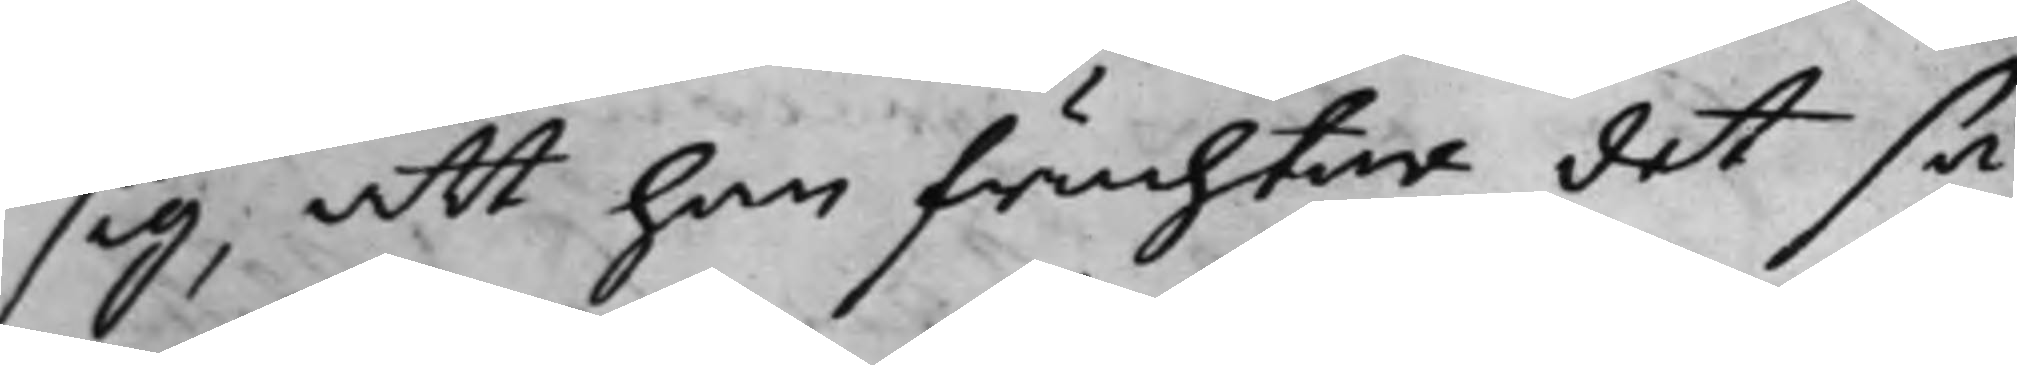sig, att han fruchtar, det så¬
